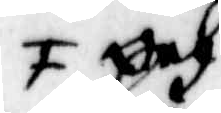F Och
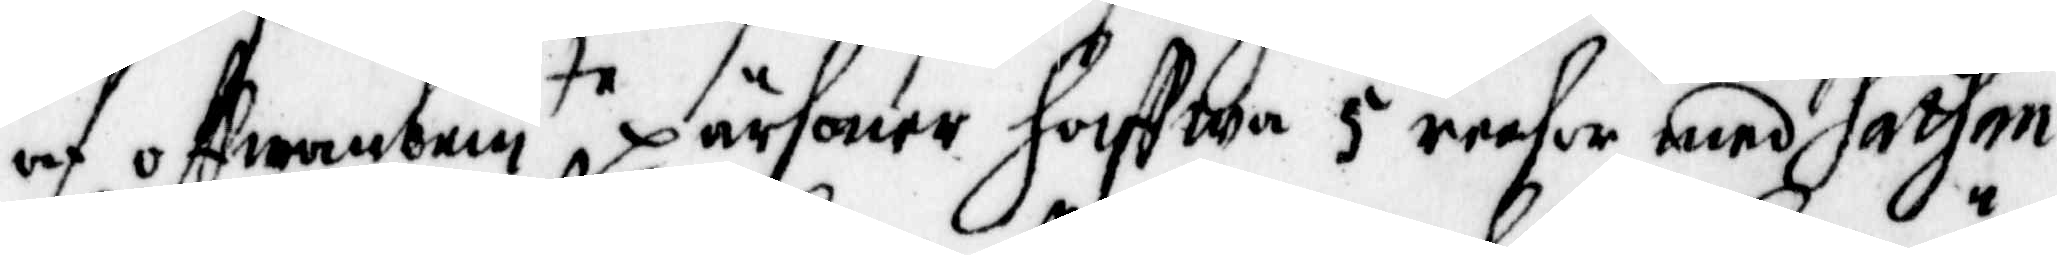af offwanbem te, pärsoner Haffwa 5 reesor med sathan
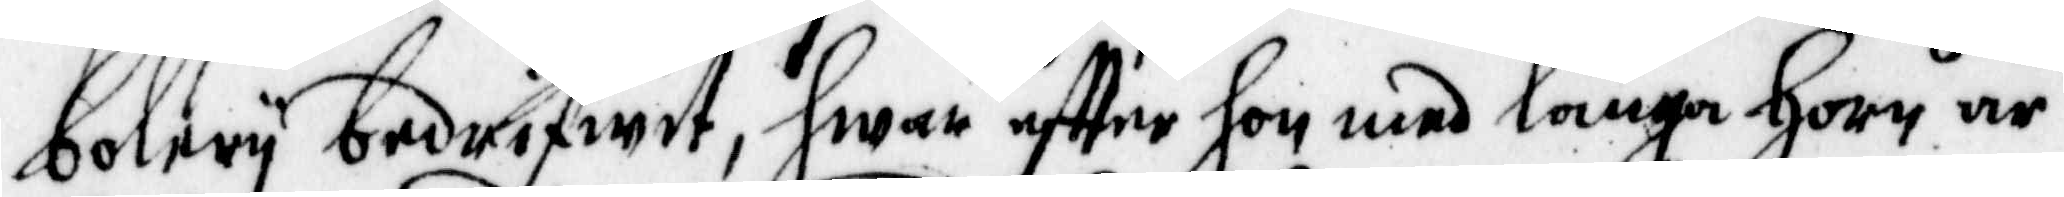bolery bedrifwit, hwar effter hon med långn Horn är
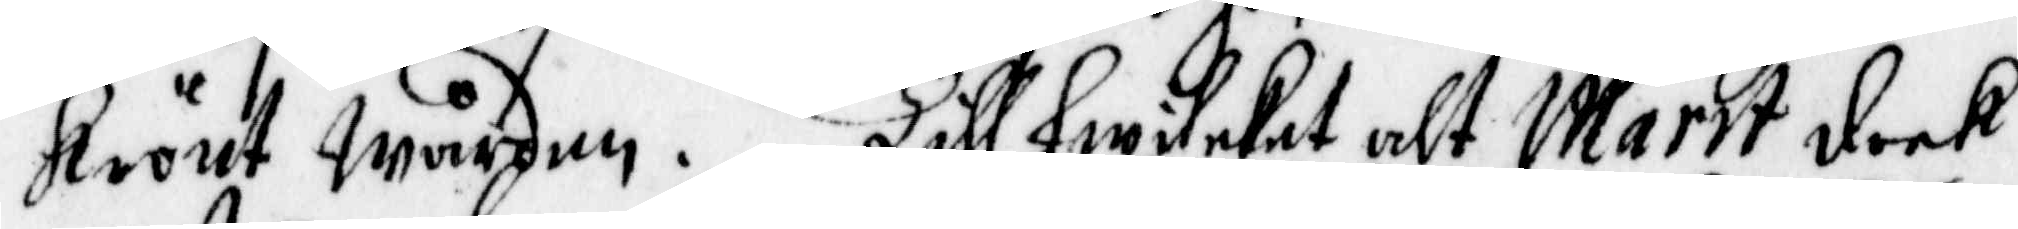Krönt Wården. Till hwileket alt Märit dook
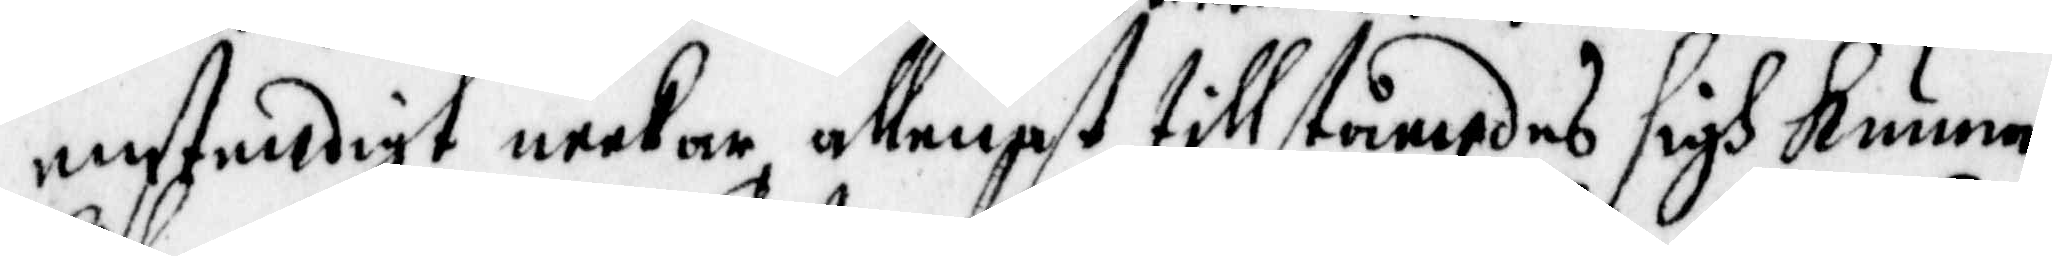enstendigt neekar ,allenast tillståendes sigh Kunna
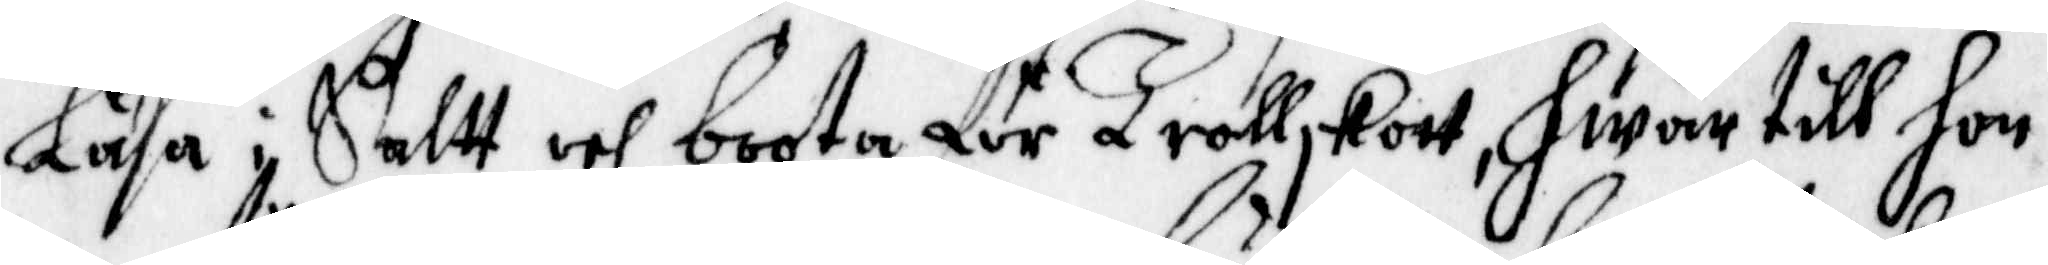läsa i Saltt och boota för Trollskott, hwar till hon
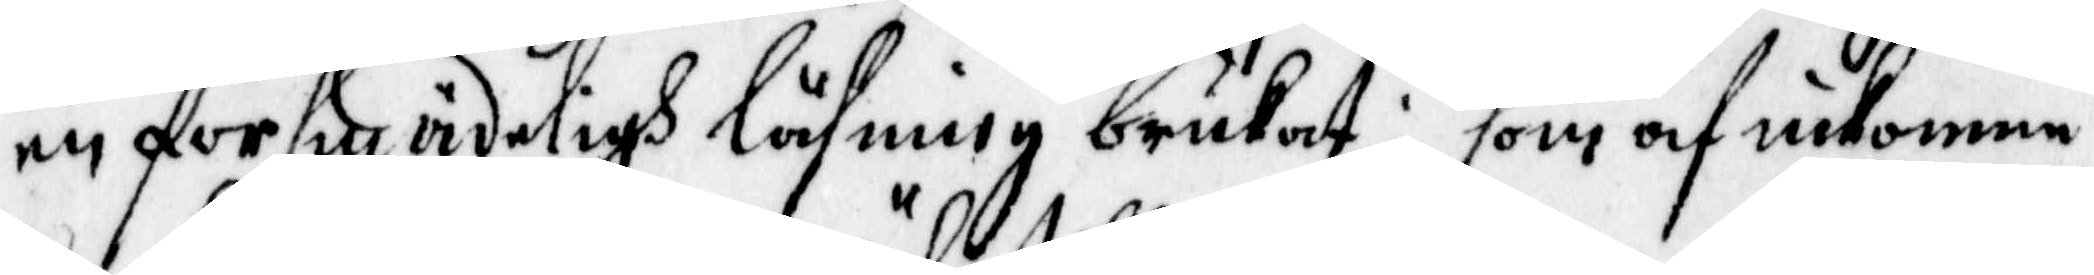en försmädeligh läsning brukat; som och inkomme
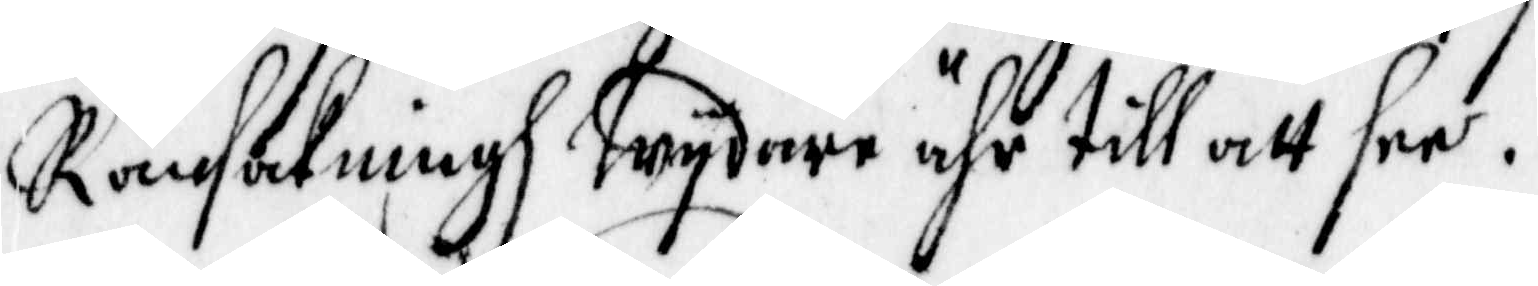Ransakningh Wydare ähr till att see.
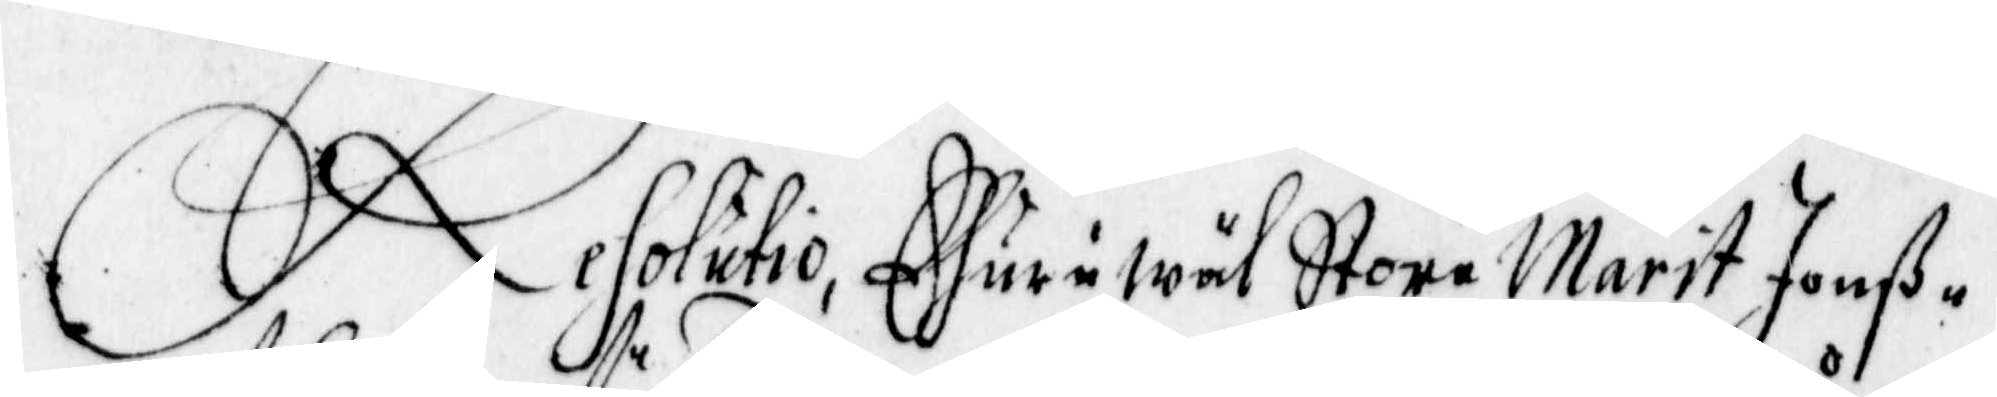Resolutio, Ehuruwäl Store Marit Jonß
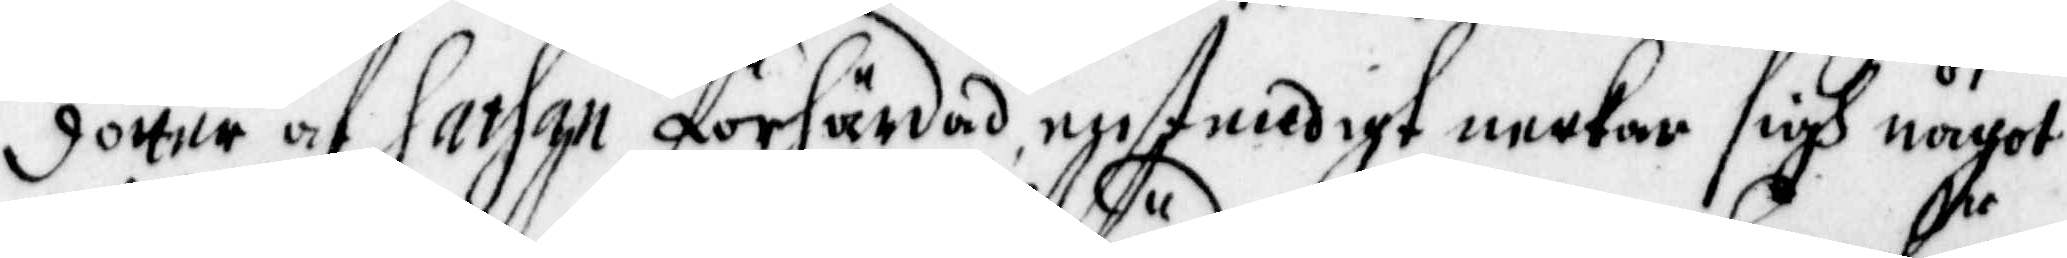dotter af Sathan förhärdad enstendigt neekar sigh något
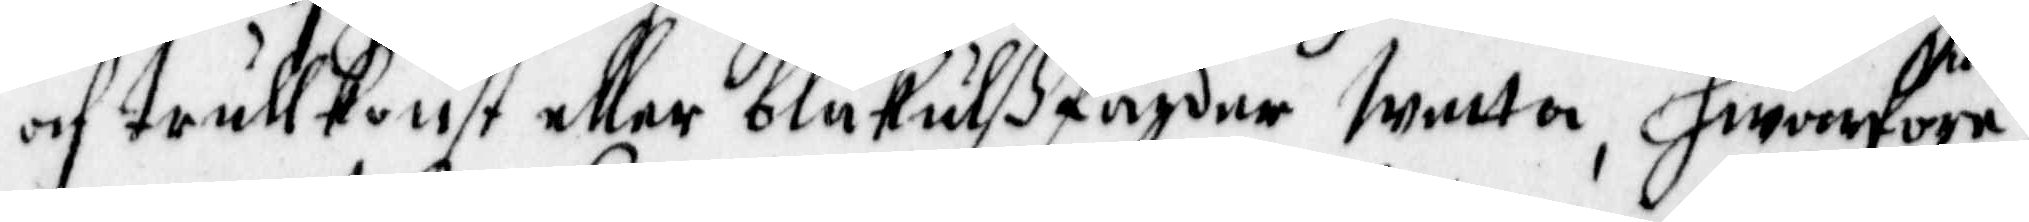af trullkonst eller blåkulßfärder wetta, Hwarföre
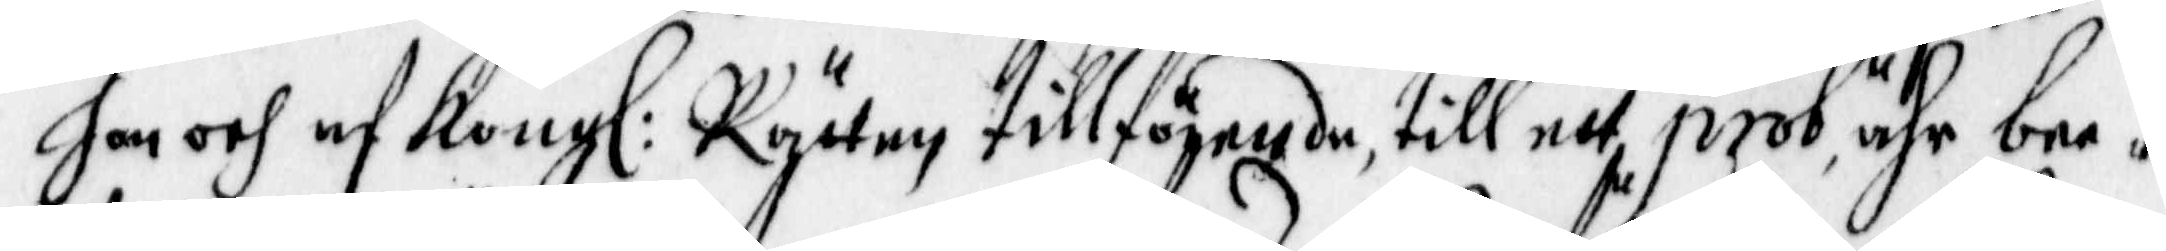hon och af Kongl: Rätten tillförnde, till etth prob, ähr bee¬
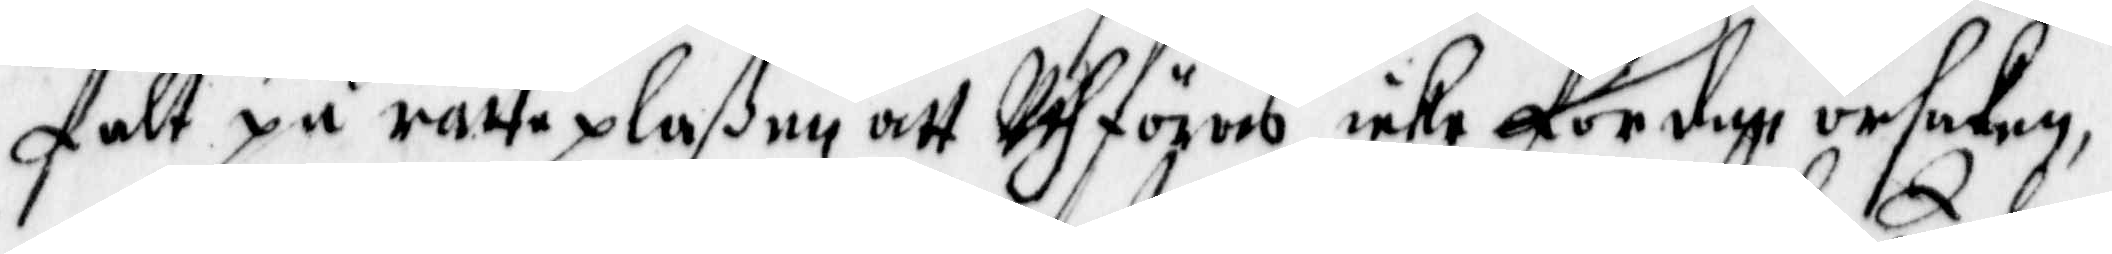falt på rätte plaßen att Uthföras, icke förden orsaken,
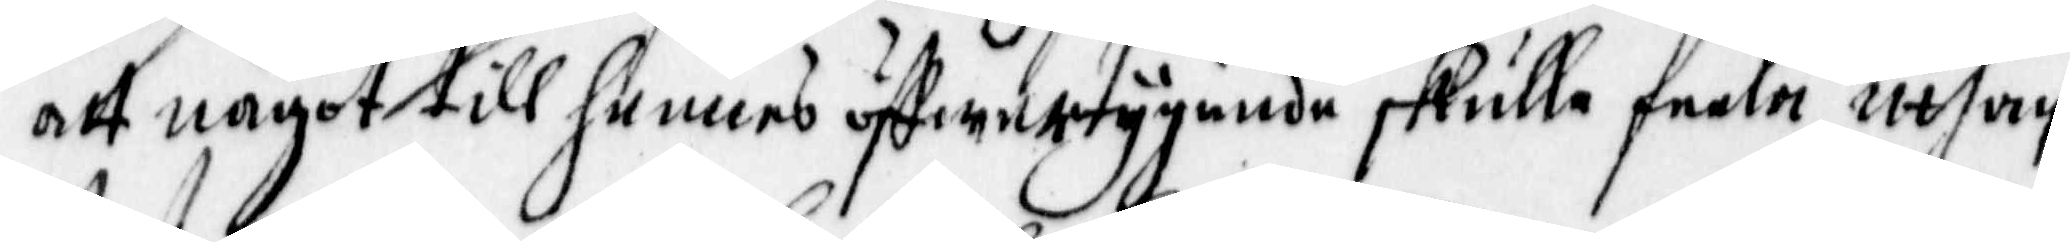att något till hennes öffwertygande skulle feele, uthan
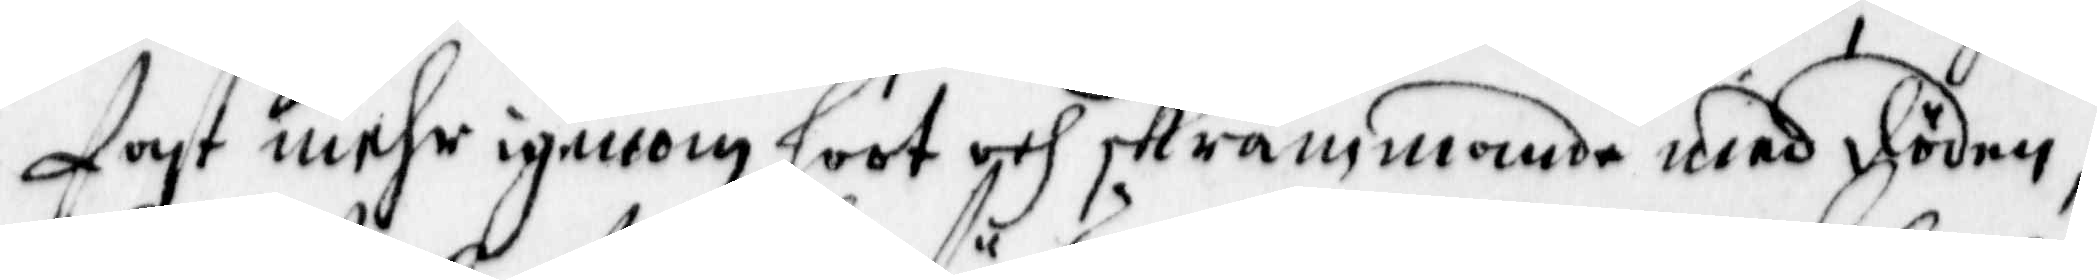fast mehr igenom hoot och skrämmande med döden,
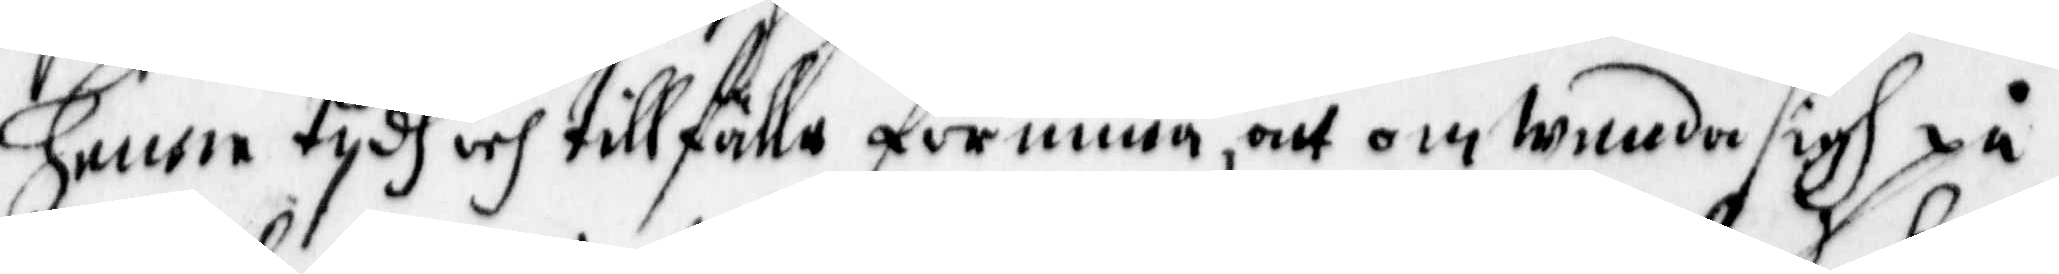henne tydh och tillfälla förunna, att omwenda sigh på
